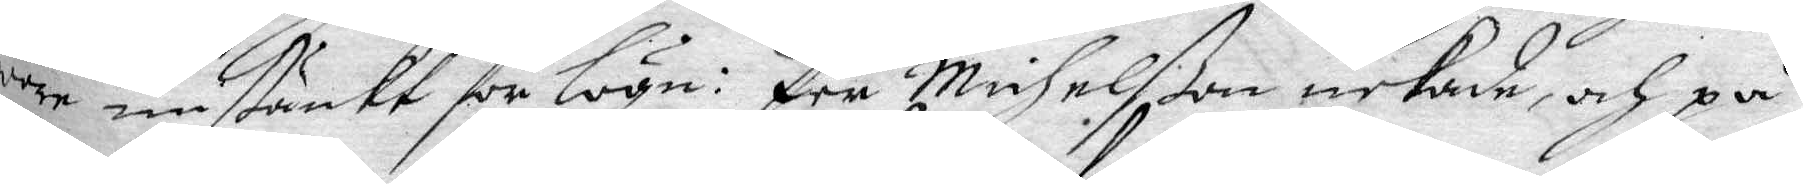wore mistänkt för Lögn: Per Michelßon nekade, och på¬
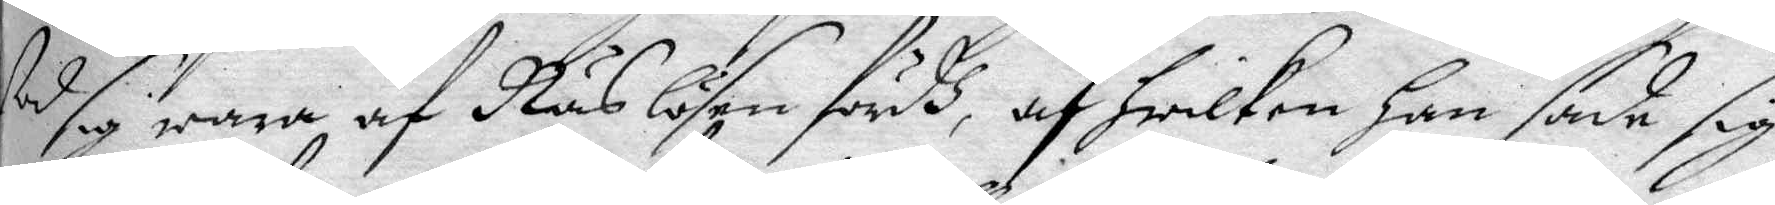stod sig wara af Näslösen fördh, af hwilken Han sade sig
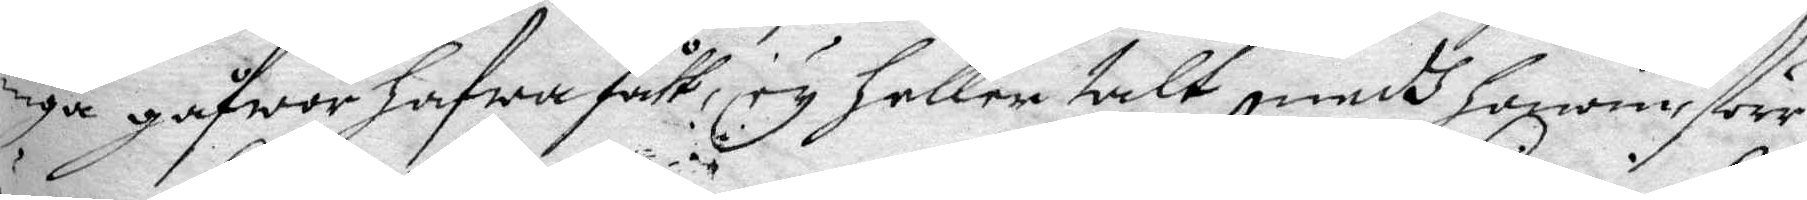inga gåfwor hafwa fått, ey heller talt medh honom förr¬
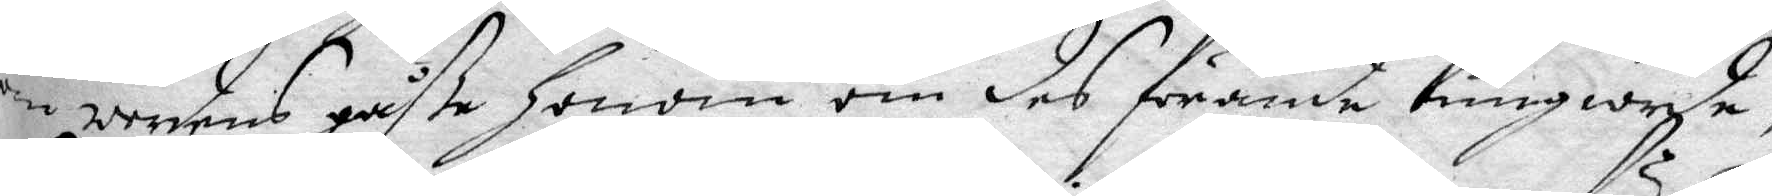än werdens gåße honom om des förande kungiorde,
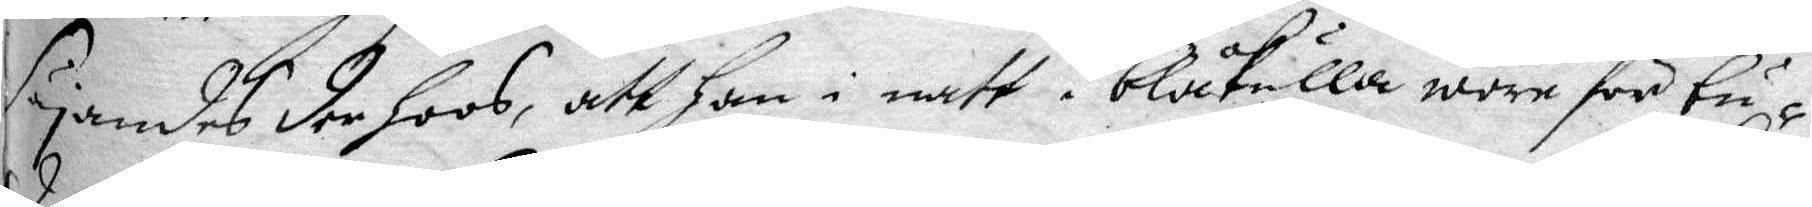Säyandes der hoos, att han i natt i blåkulla wore för bd¬
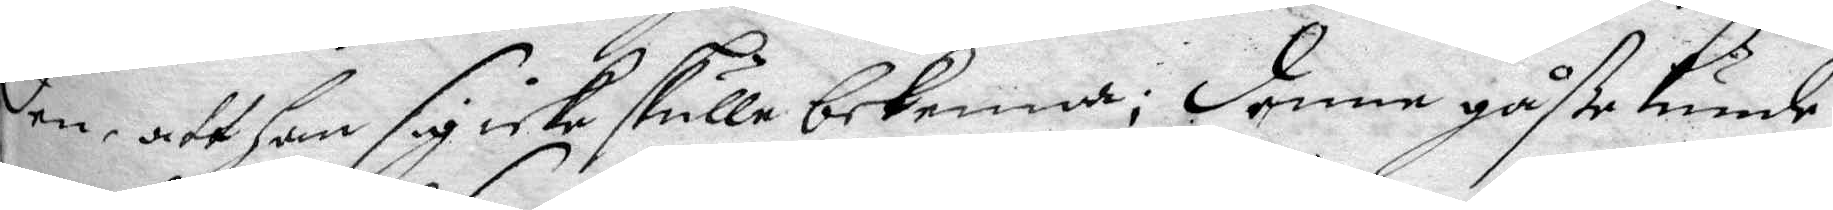den, att han sig icke skulle bekenna; denna gåße kunde
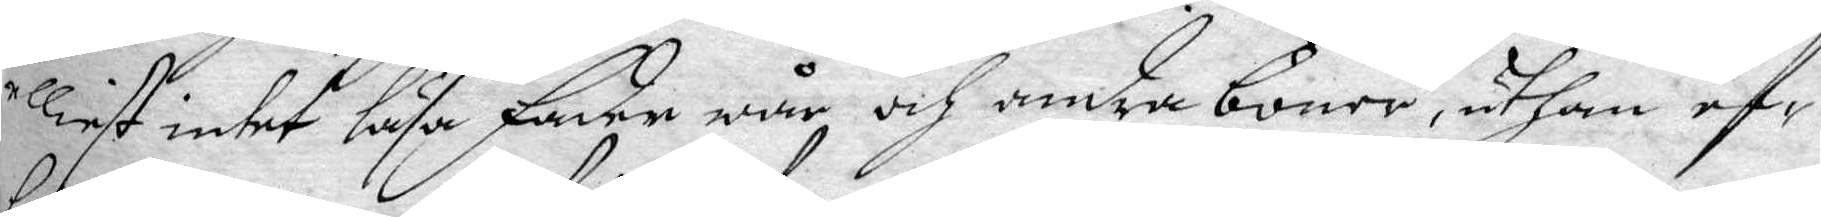elliest intet läsa fader wår och andra böner, uthan ef¬
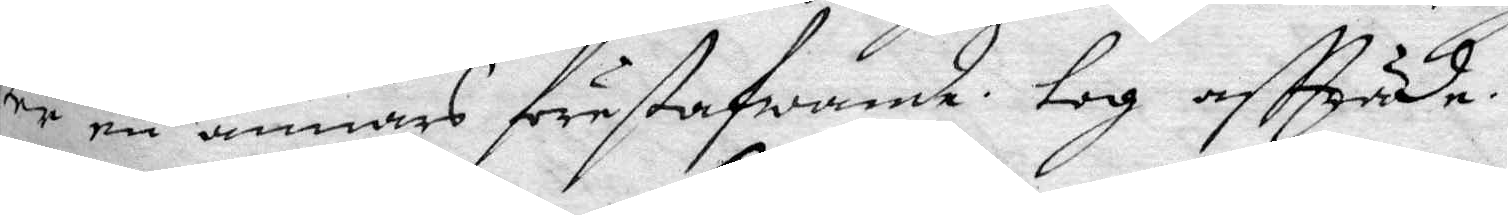ter en annars förestafwande, tog affträde.
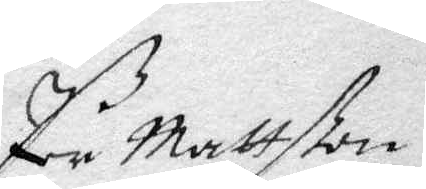Per Mattßon
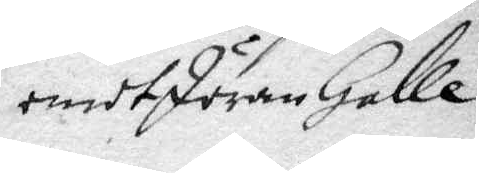emot Jöran Galle
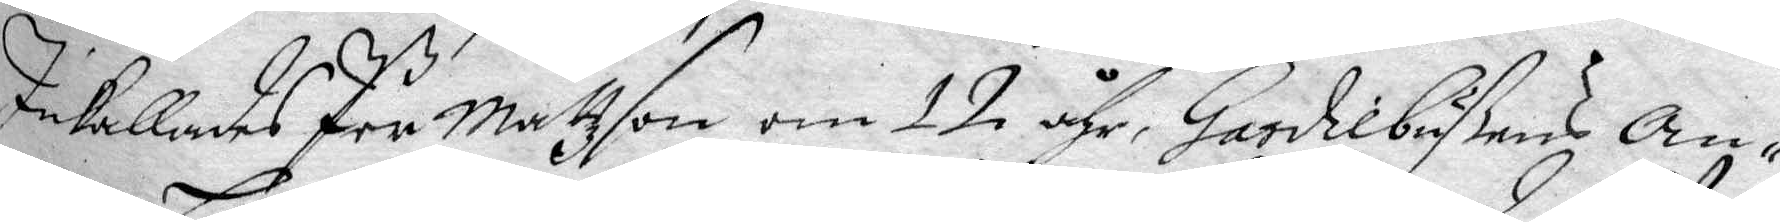Inkallades Per Matzson om 12 åhr, Gardiebußens An¬ 
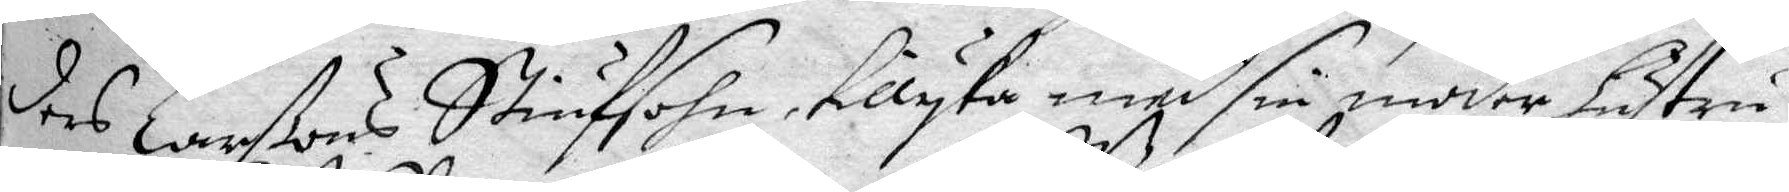ders Larßons Stiufsohn, tillyka med sin moder hustru
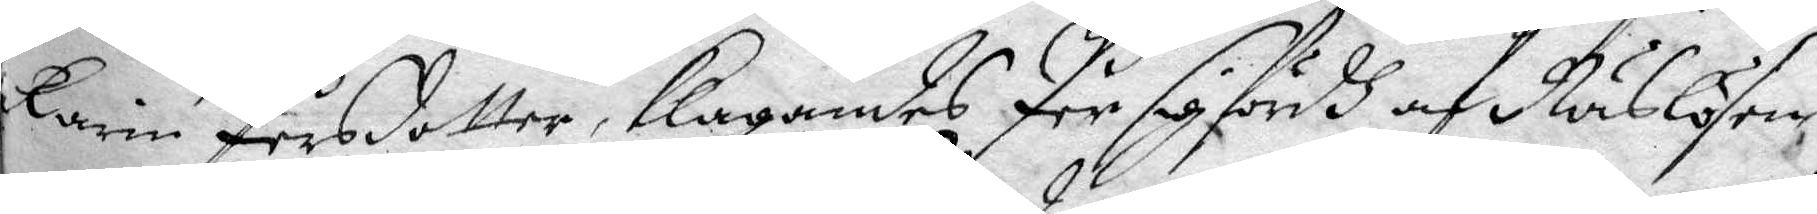Karin Persdotter, klagandes Per sig fördh af Näslösen,
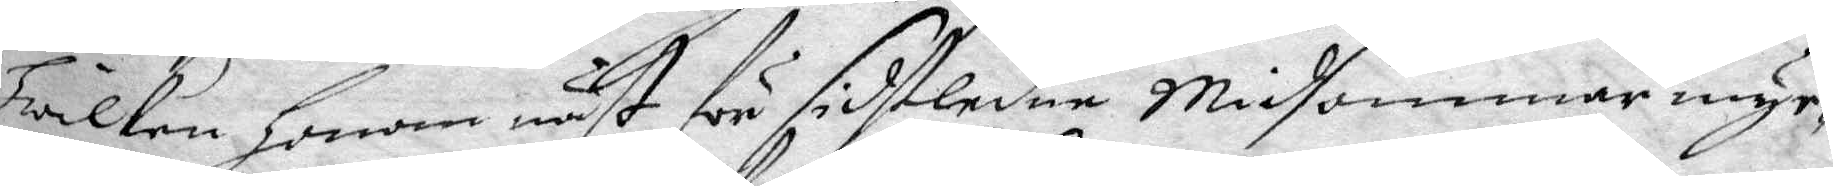Hwilken Honom näst för sidstledne Midsommar myc¬
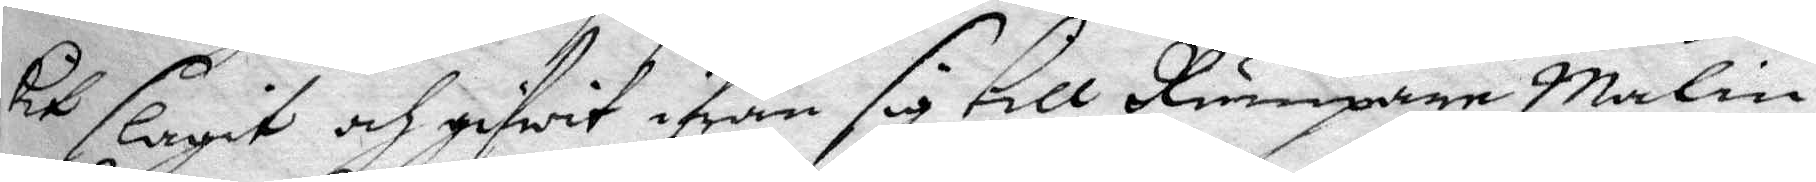ket slagit och gifwit ifrån sig till Rumpare Malin,
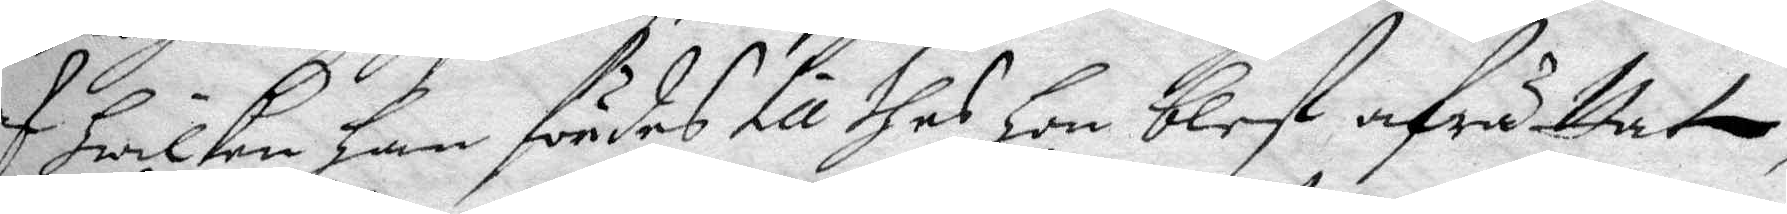af hwilken han fördes till thes hon blef afrättat,
